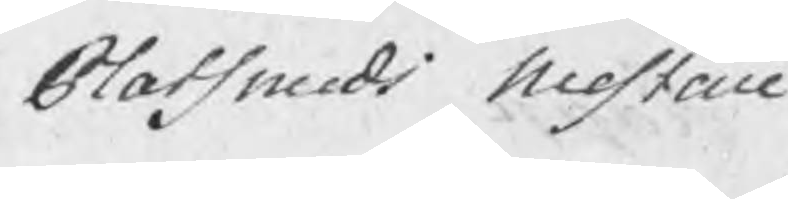Platsmeds Mestare
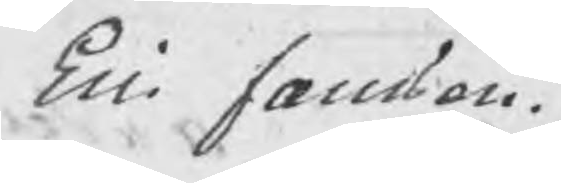Eric Jansson.
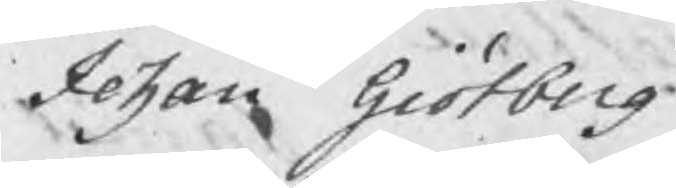Johan Giötberg
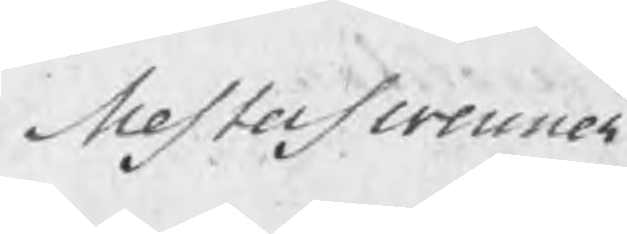Mesterswenner
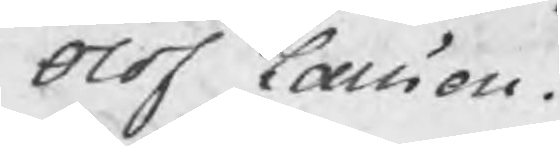Olof Larsson.
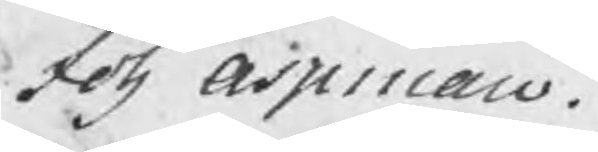Joh Aspman.
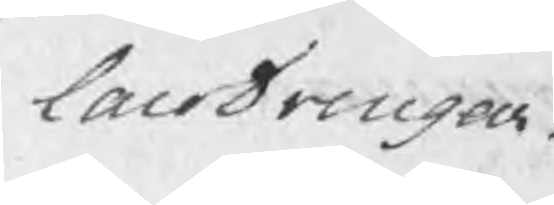larodrengar
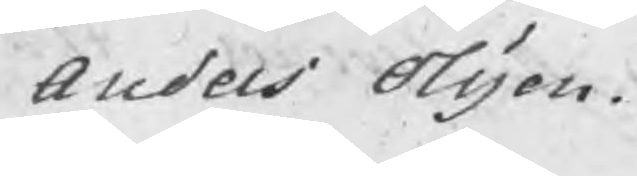Anders Olsson.
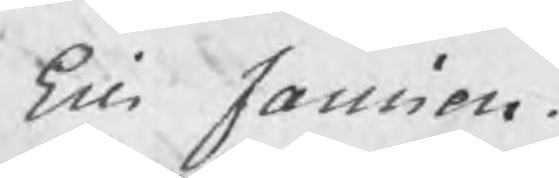Eric Jansson.
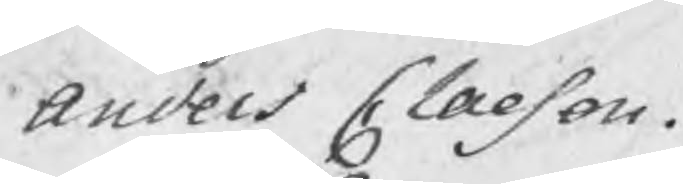Anders Claeson.
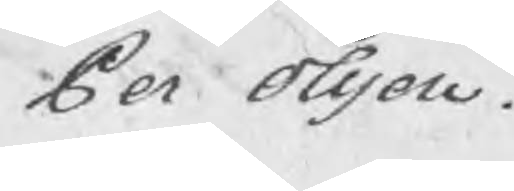Per Olsson.
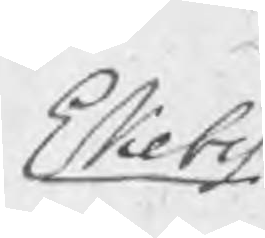Ekeby
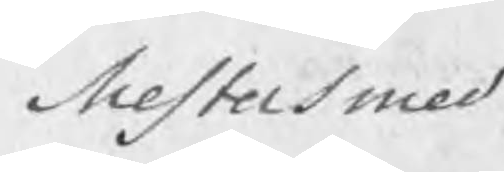Mestersmed
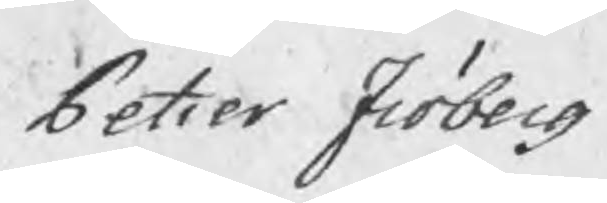Petter Fröberg
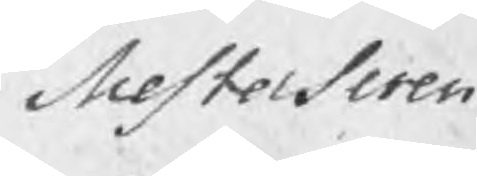Mesterswen
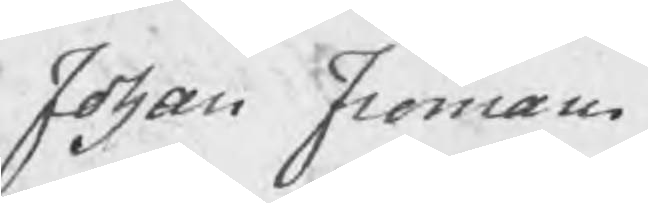Johan Fröman.
